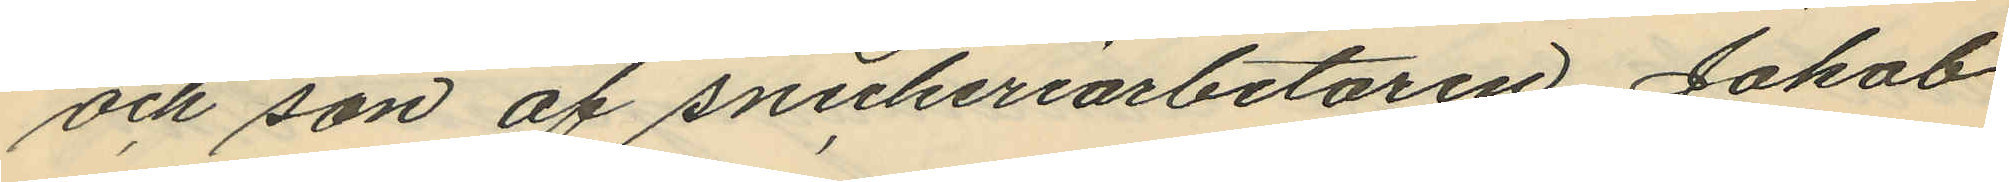och son af snickeriarbetaren Jakob
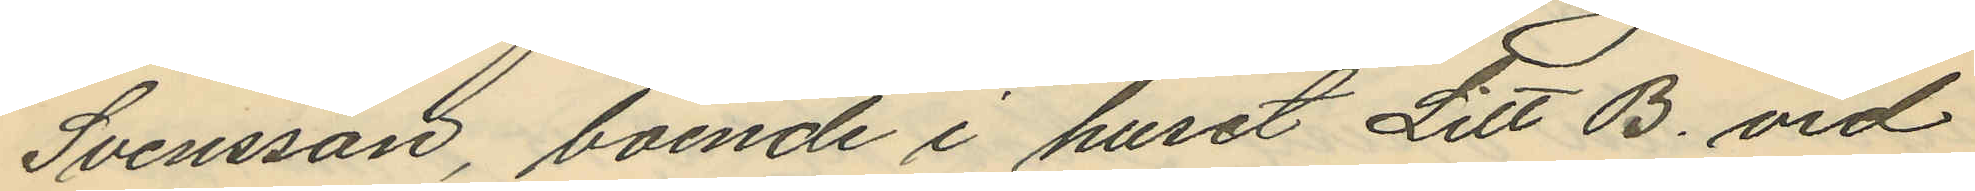Svensson, boende i huset Litt B. vid
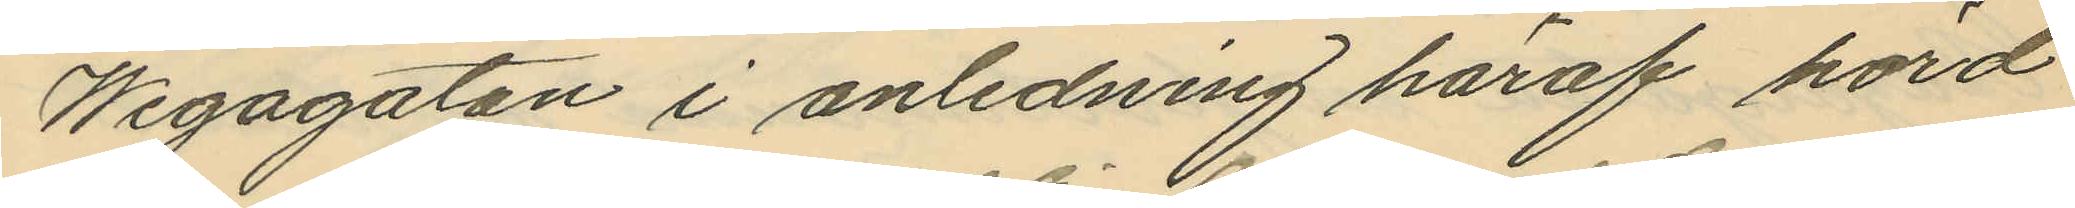Wegagatan i anledning häraf hörd
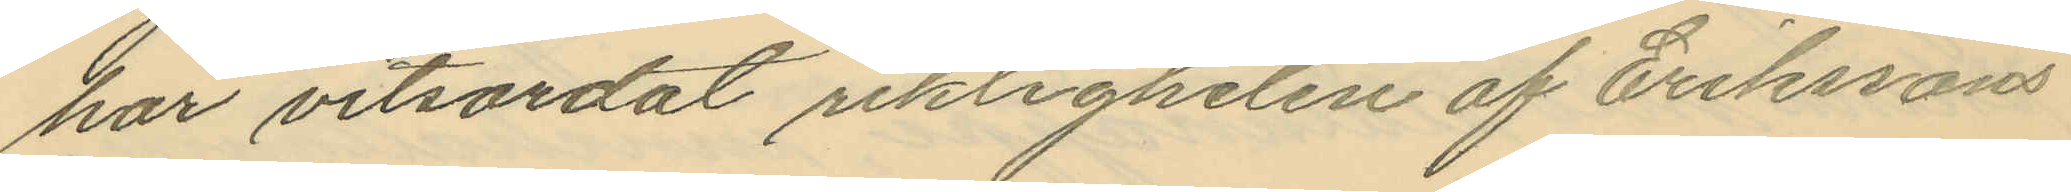har vitsordat riktigheten af Erikssons
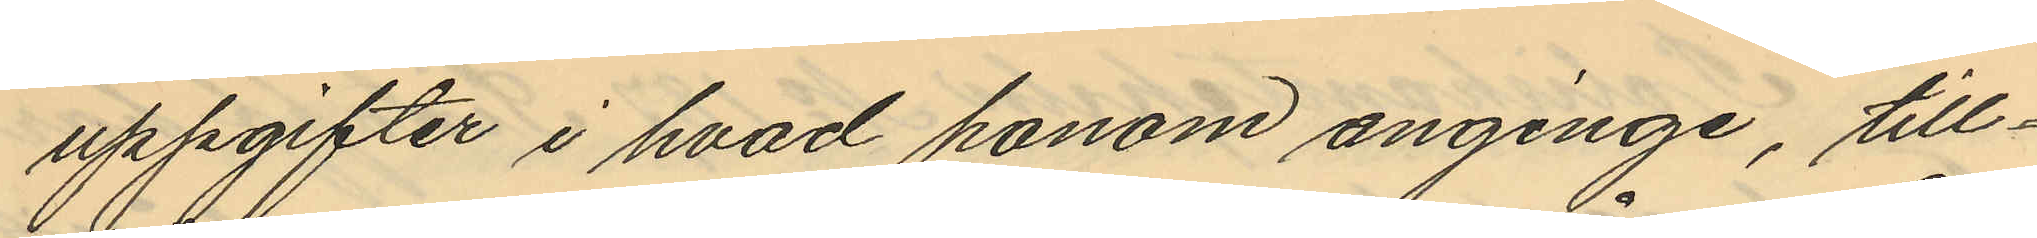uppgifter i hvad honom anginge, till¬
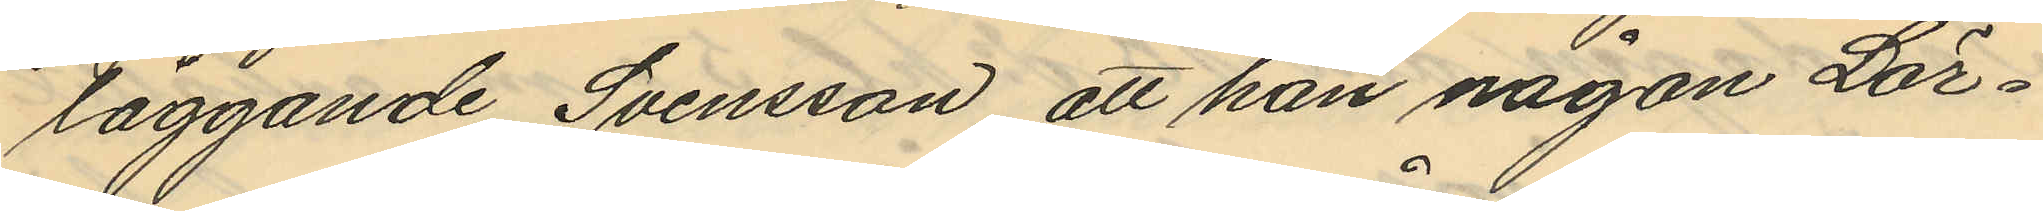läggande Svensson att han någon Lör¬
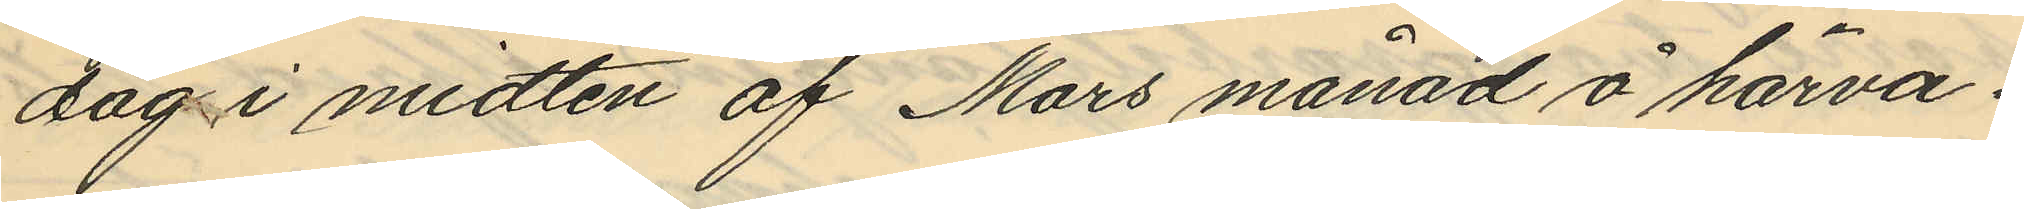dag i midten af Mars månad å härva¬
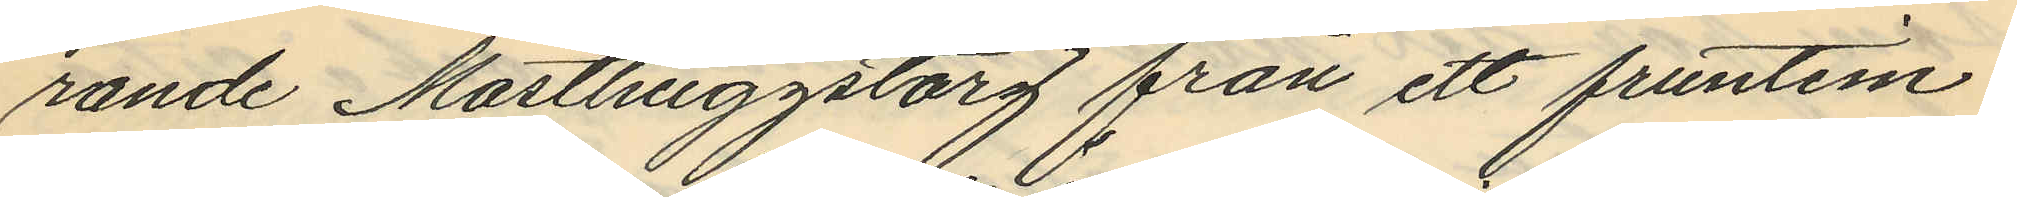rande Masthuggstorg från ett fruntim¬
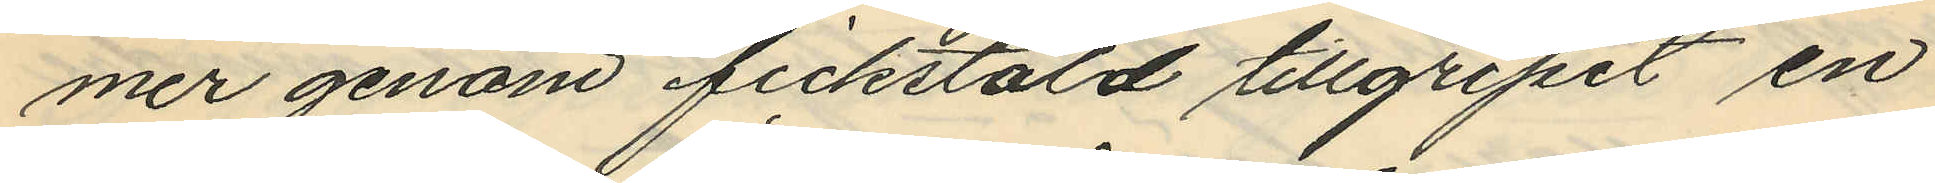mer genom fickstöld tillgripit en
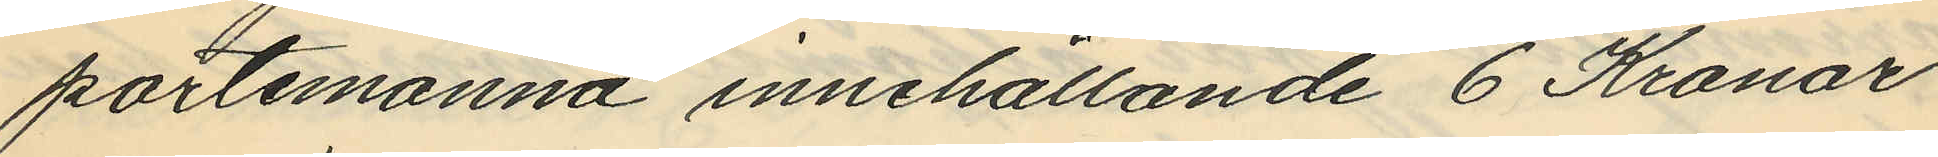portemonnä innehållande 6 Kronor
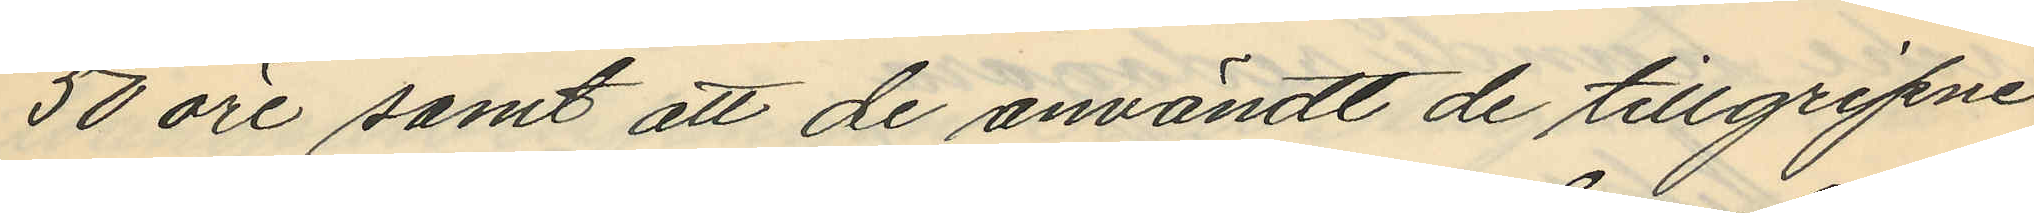50 öre samt att de användt de tillgripne
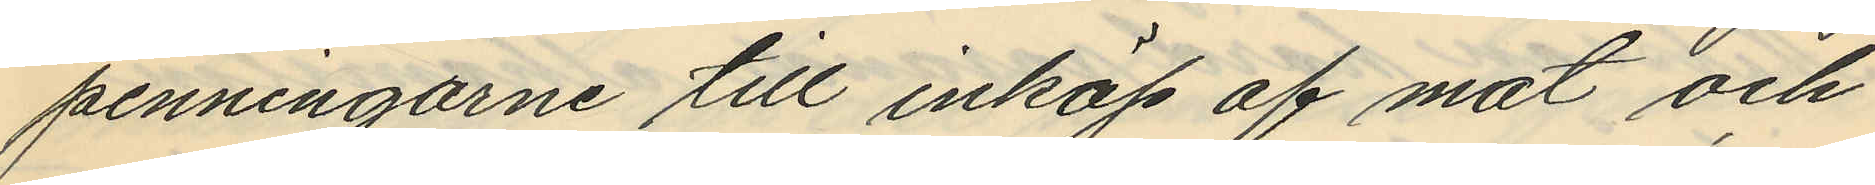penningarne till inköp af mat och
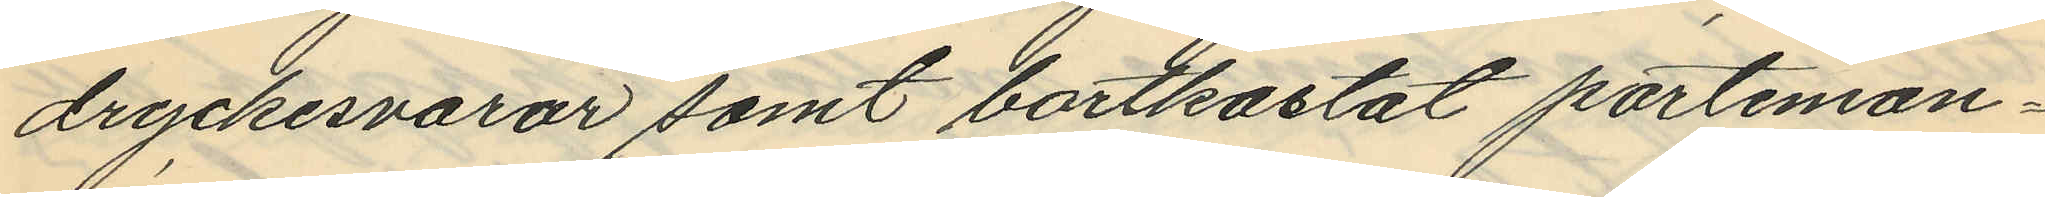dryckesvaror samt bortkastat portemon¬
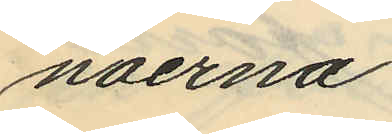näerna.
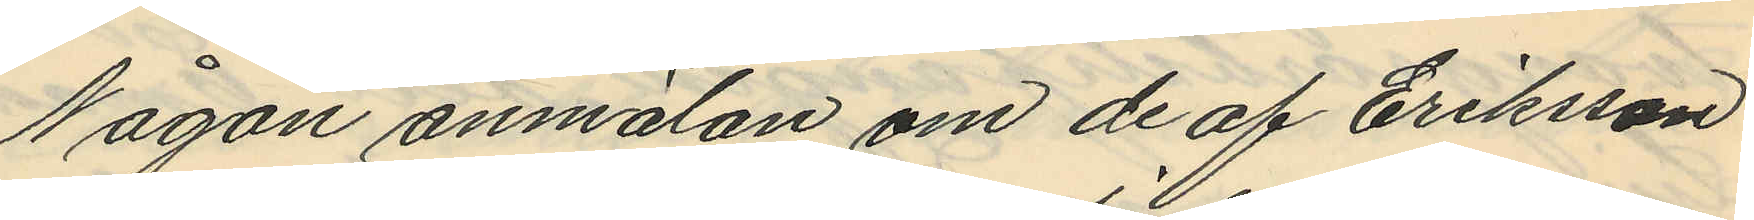Någon anmälan om de af Eriksson
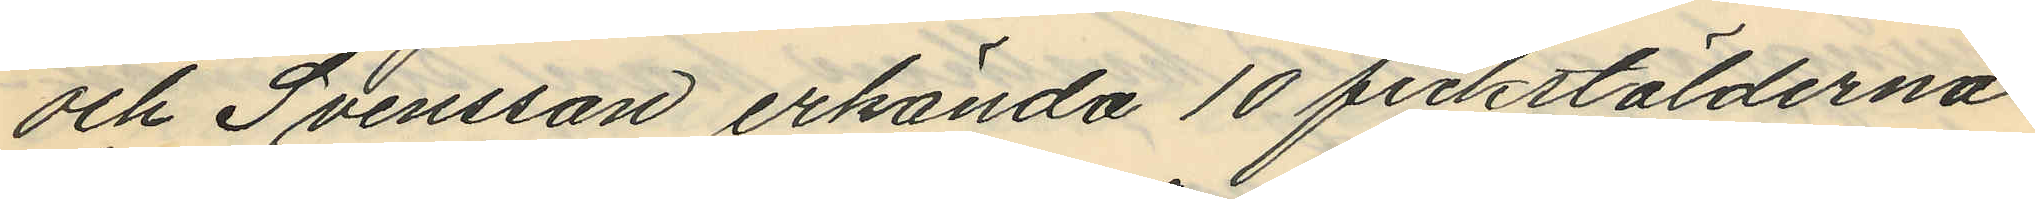och Svensson erkända 10 fickstölderna
